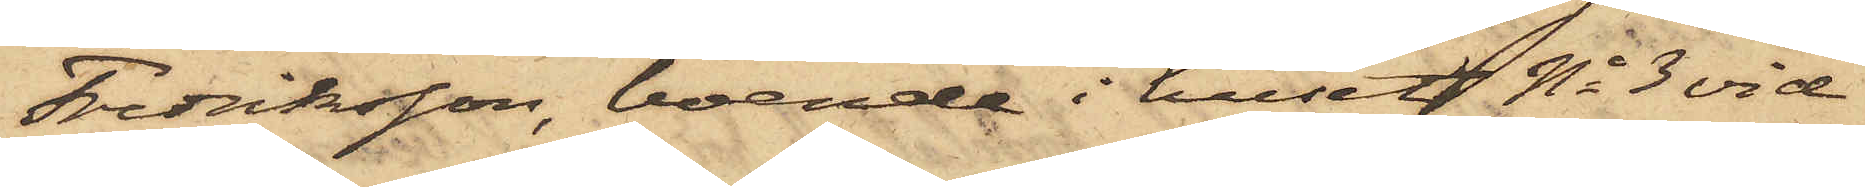Fredriksson, boende i huset No 3 vid
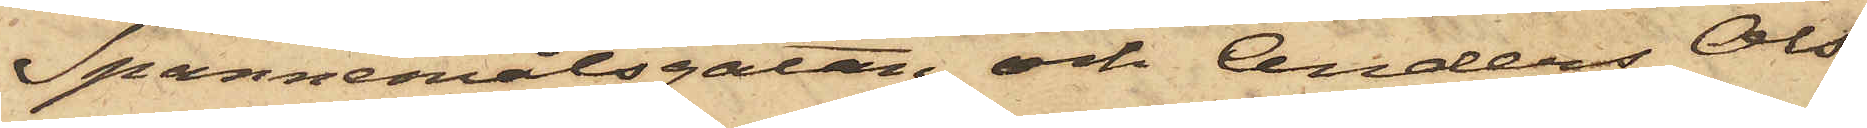Spannemålsgatan och Anders Ols¬
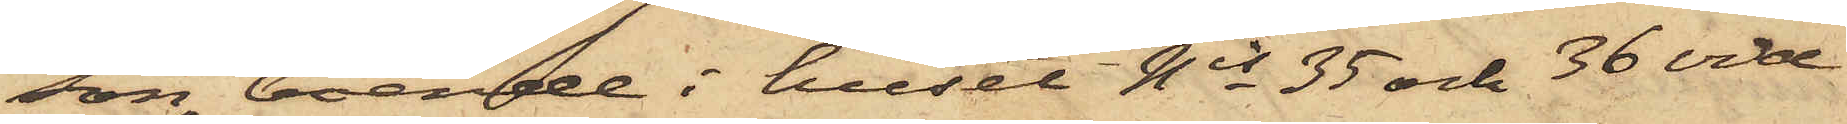son, boende i huset Nis 35 och 36 vid
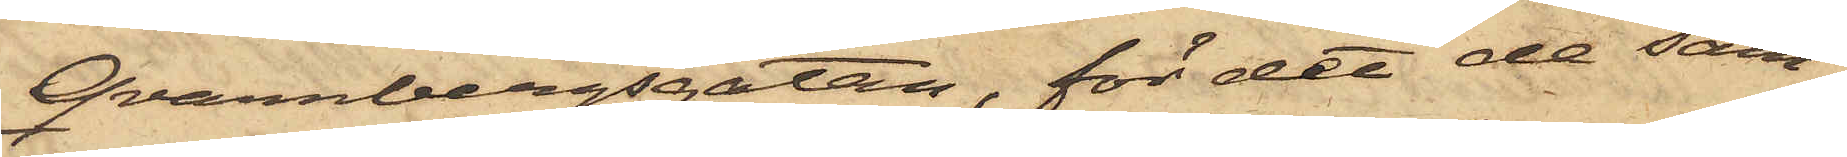Qvarnbergsgatan, för det de sam¬
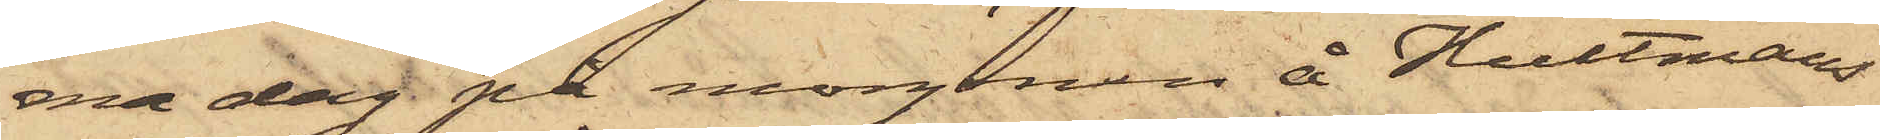ma dag på morgonen å Hultmans
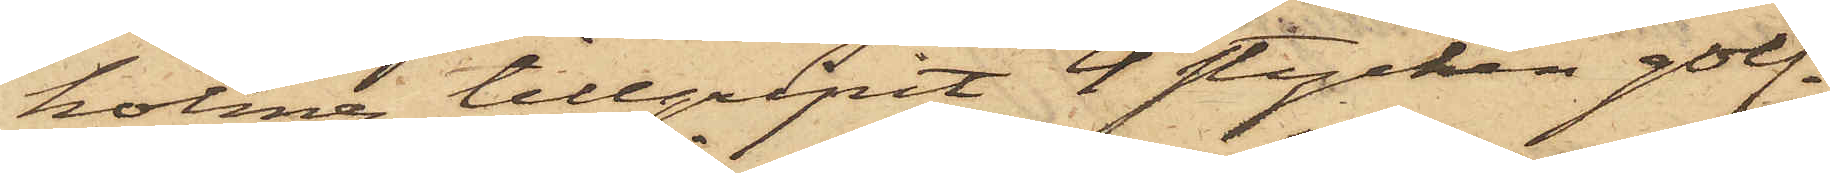holme tillgripit 4 stycken golf¬
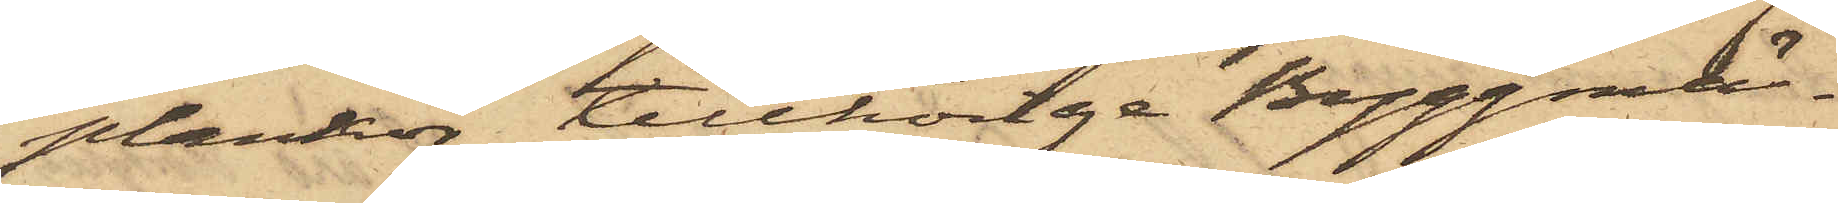plankor, tillhörige Byggmä¬
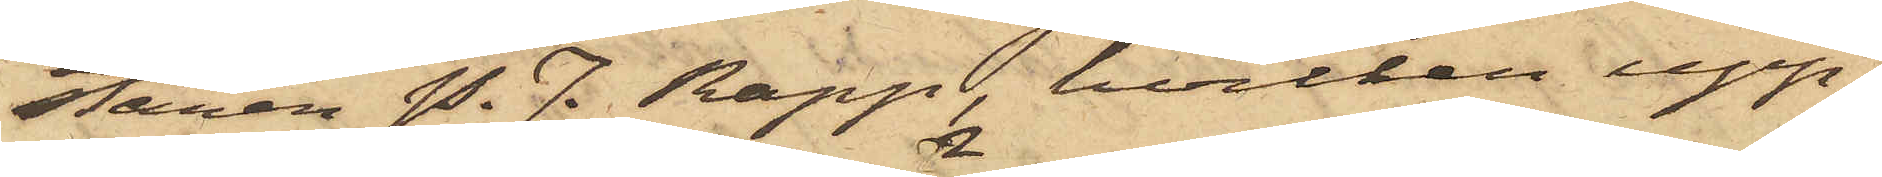staren P. J. Rapp, hvilken upp¬
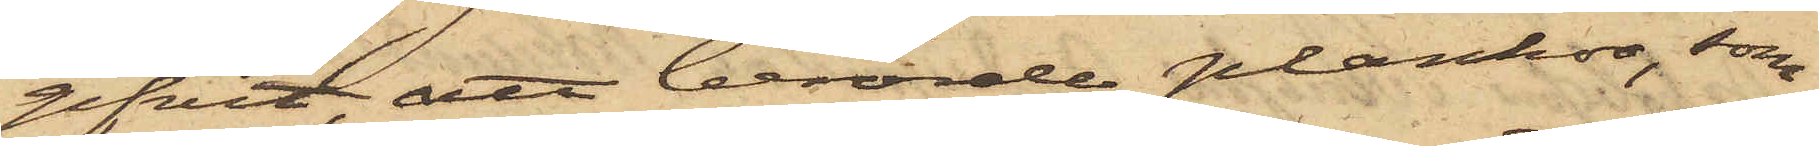gifvit att berörde plankor, som
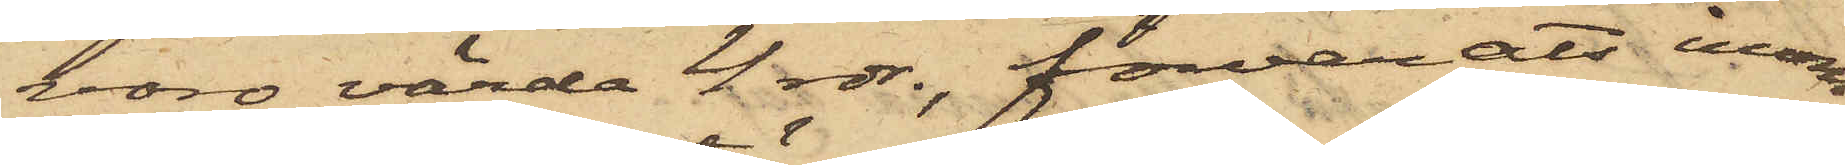voro värda 4 rdr., förvarats inom
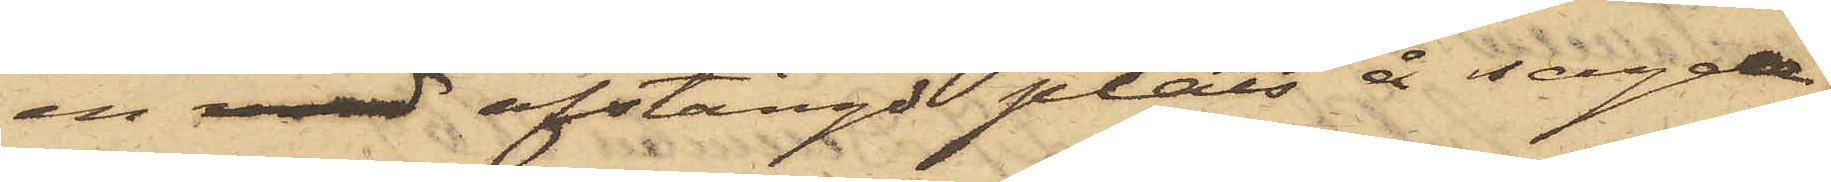en med afstängd plats å sagde
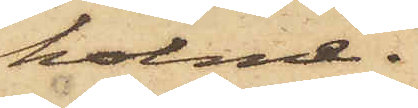holme.
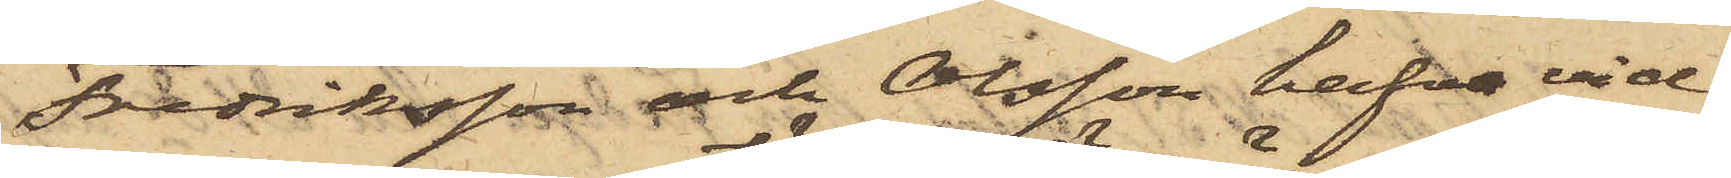Fredriksson och Olsson hafva vid
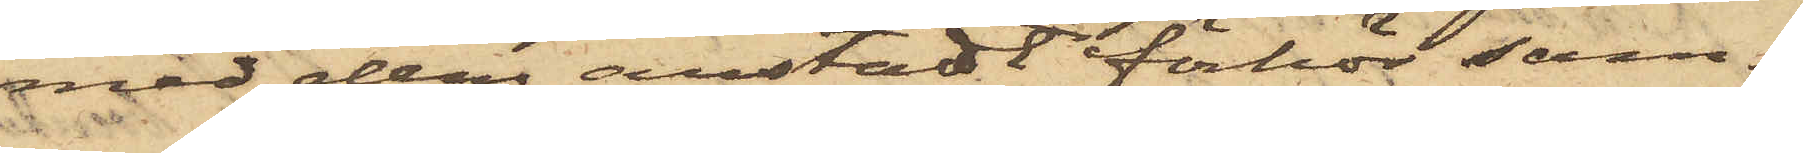med dem anstäldt förhör sam¬
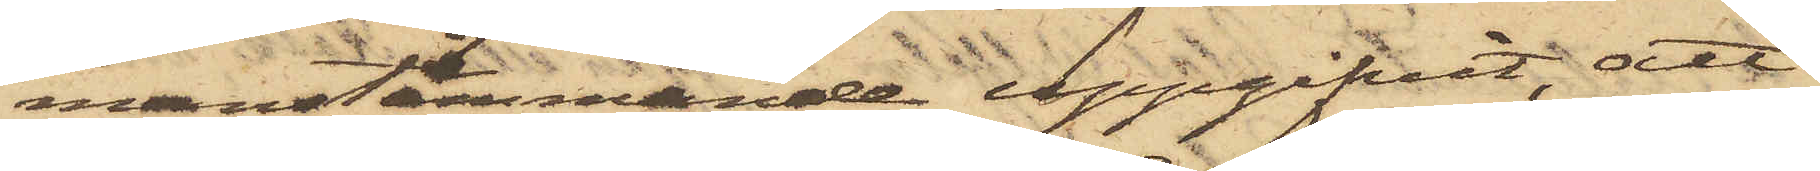manstämmande uppgifvit, att
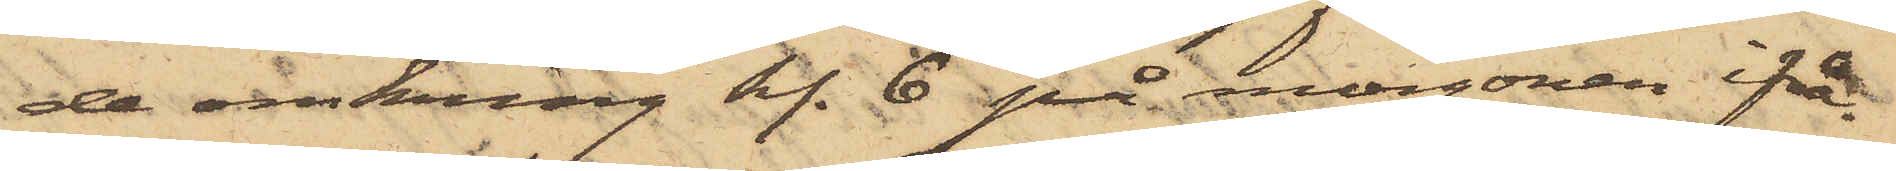de omkring kl. 6 på morgonen ifrå¬
